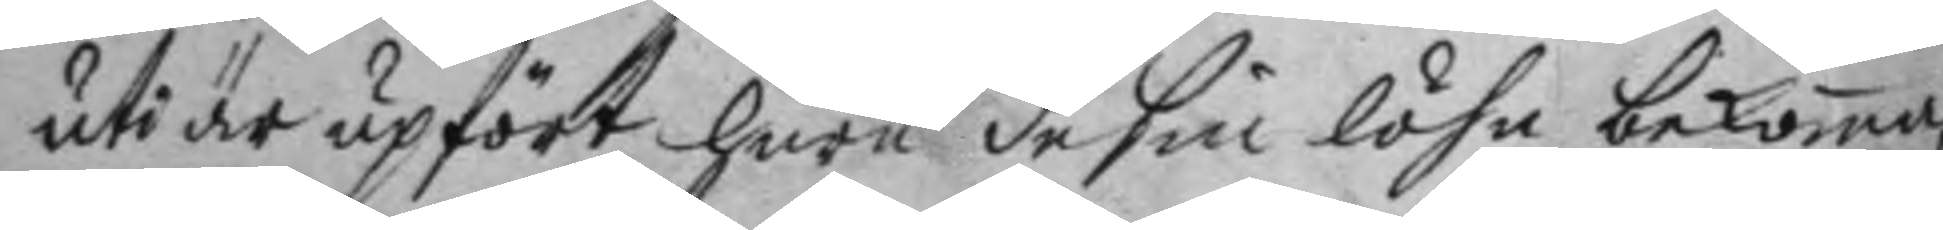uti är upfört huru de sin löhn bekoma,
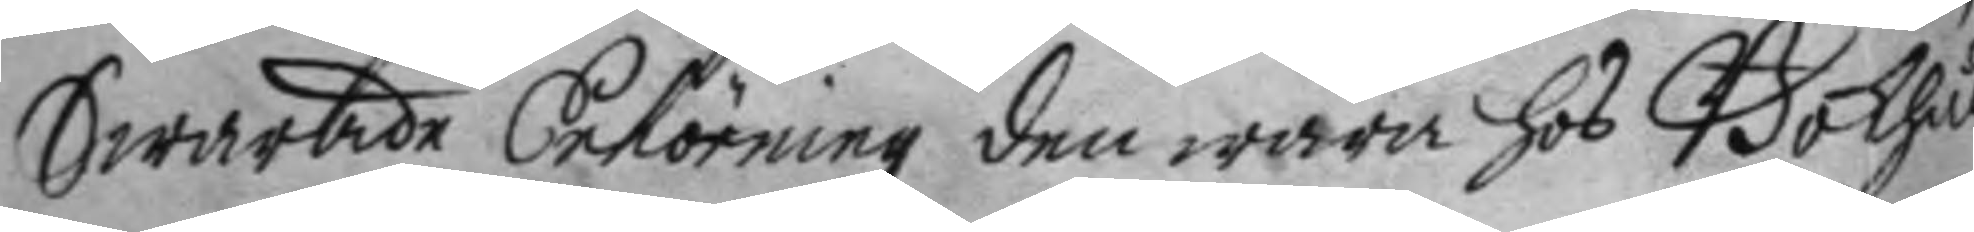Swarade Enhörning den wara hos Bokhål¬
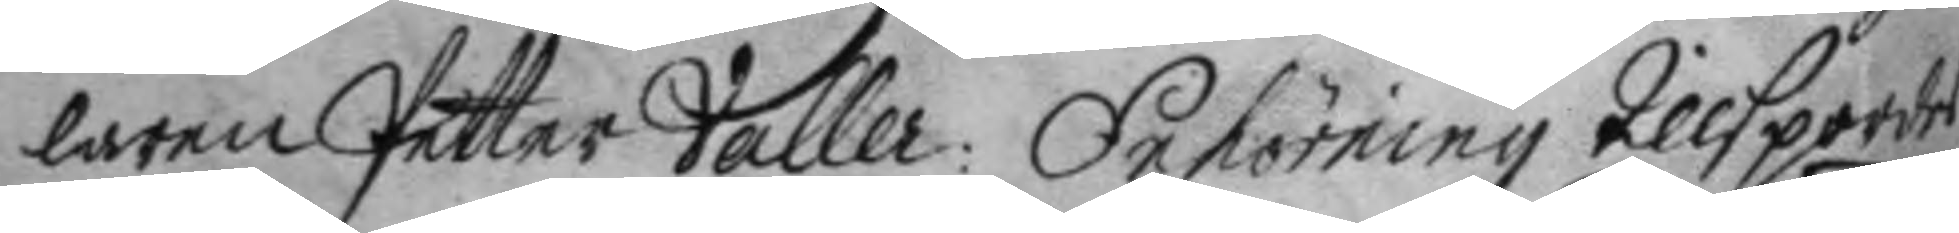laren Petter Valler: Enhörning tillspordes
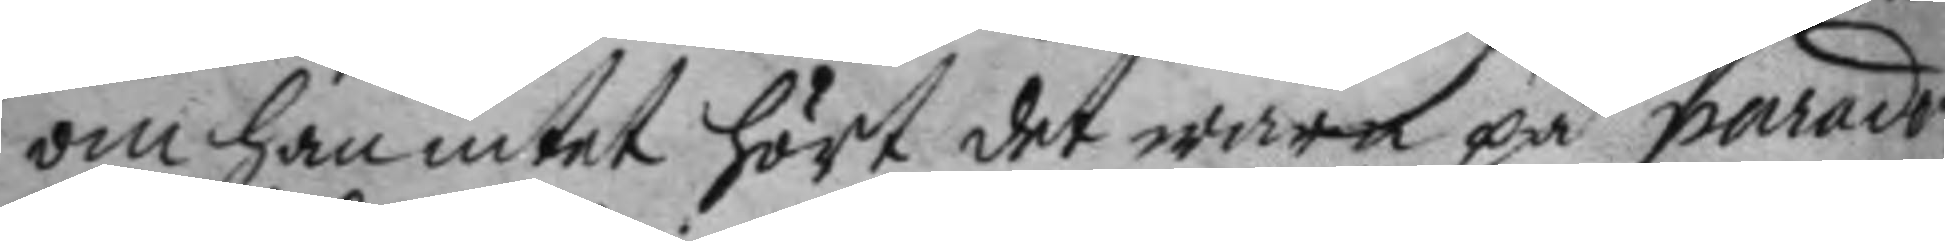om han intet hört det wara på paraden
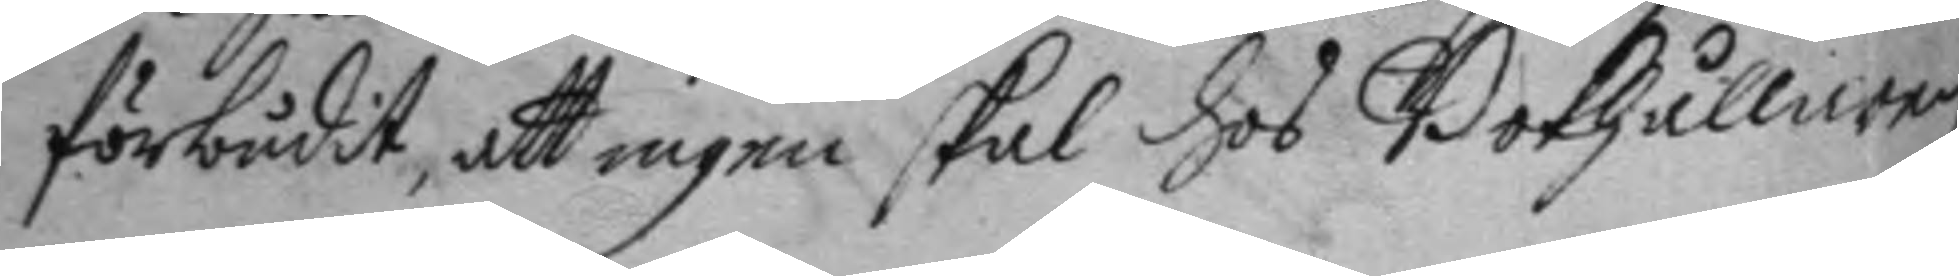förbudit, att ingen skal hos Bokhållaren
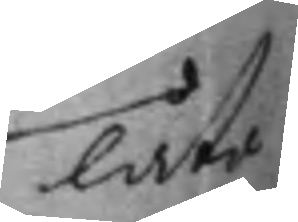låta
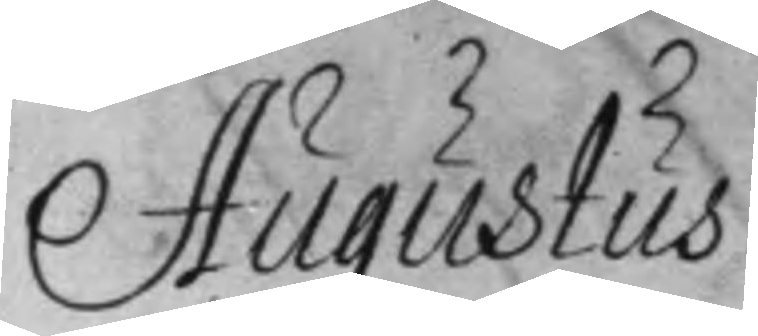Augustus
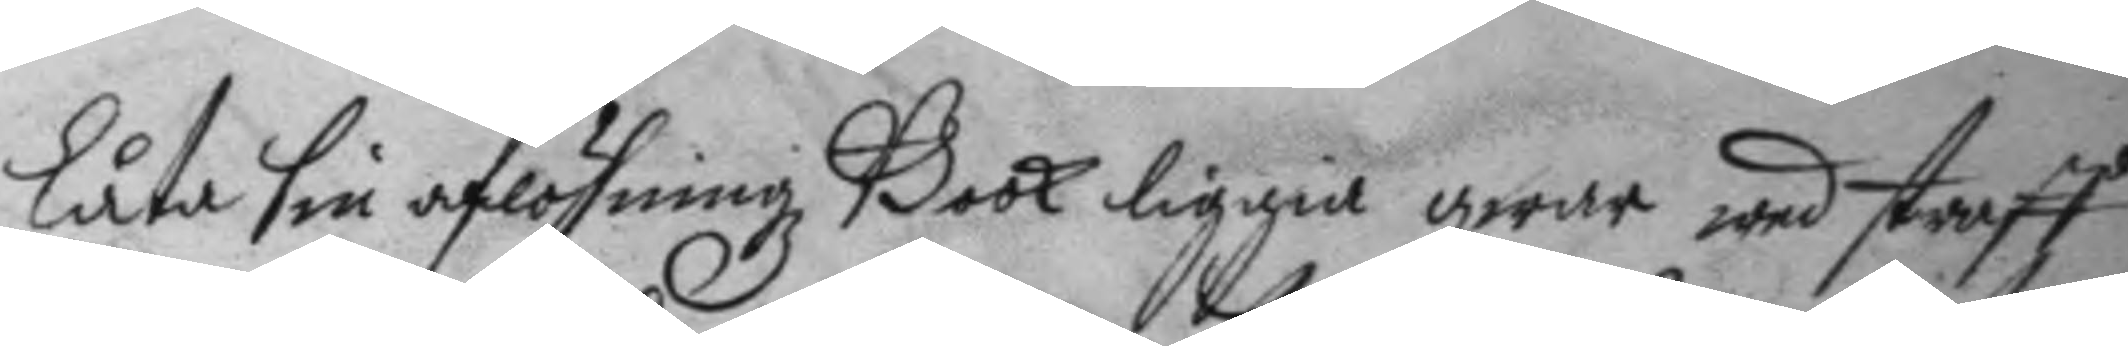låta sin aflöningz Book liggia qwar wed straff
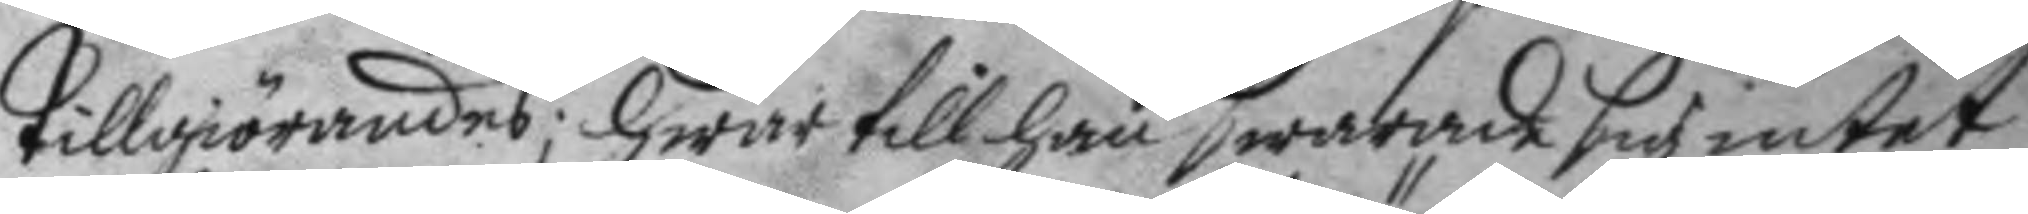tillgiörandes; hwar till han swarade sig intet
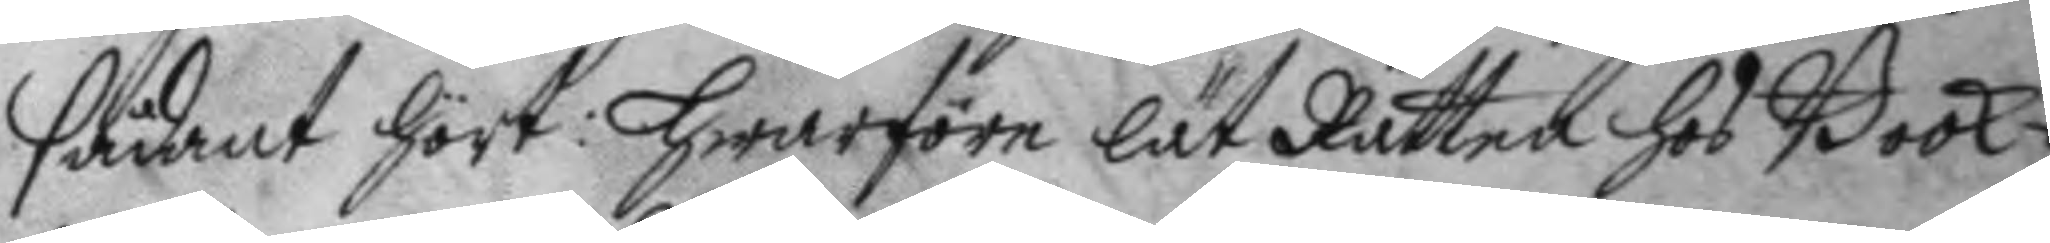sådant hört: hwarföre lät Rätten hos Book¬
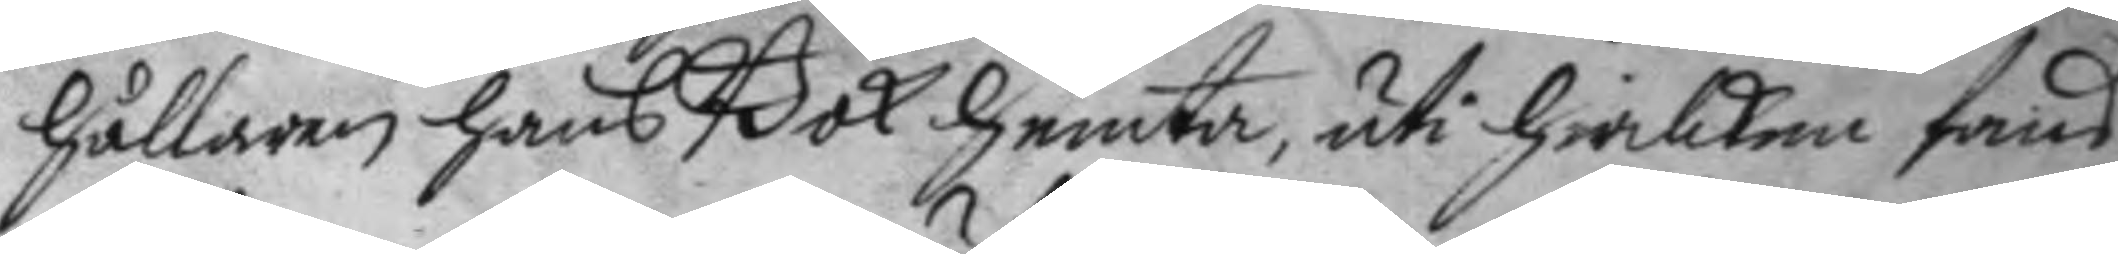hållaren hans Bok hemta, uti hwilken fans
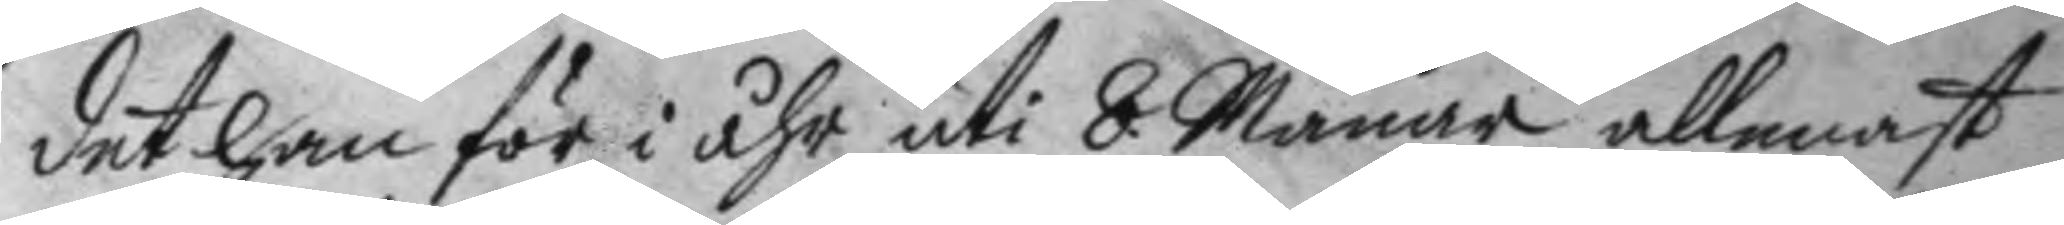det han för i åhr uti 8 Månar allenast
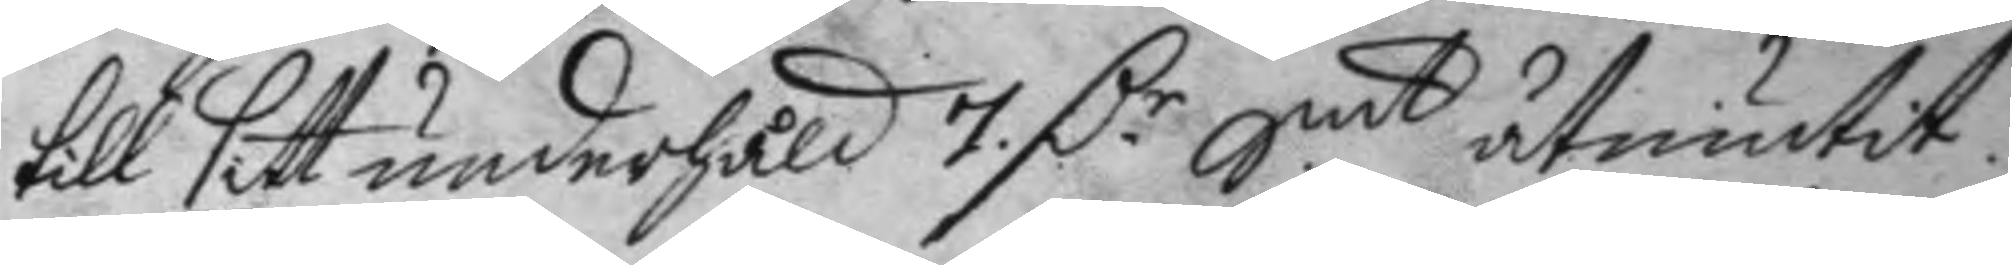till sitt underhåld 7 D.r Smt åtnjutit.
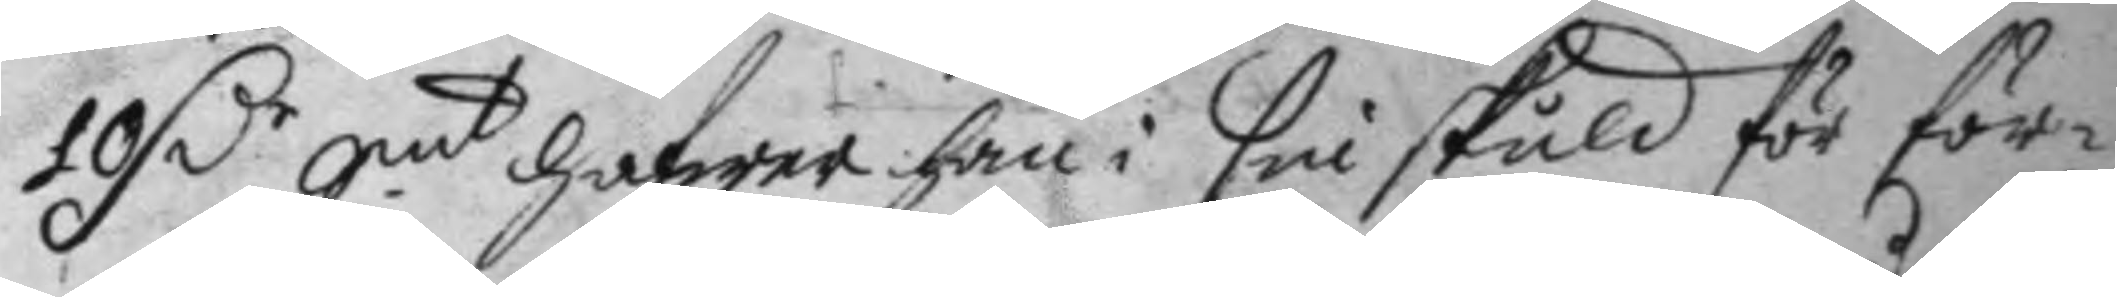10 D.r Smt hafwer han i sin skuld för för¬
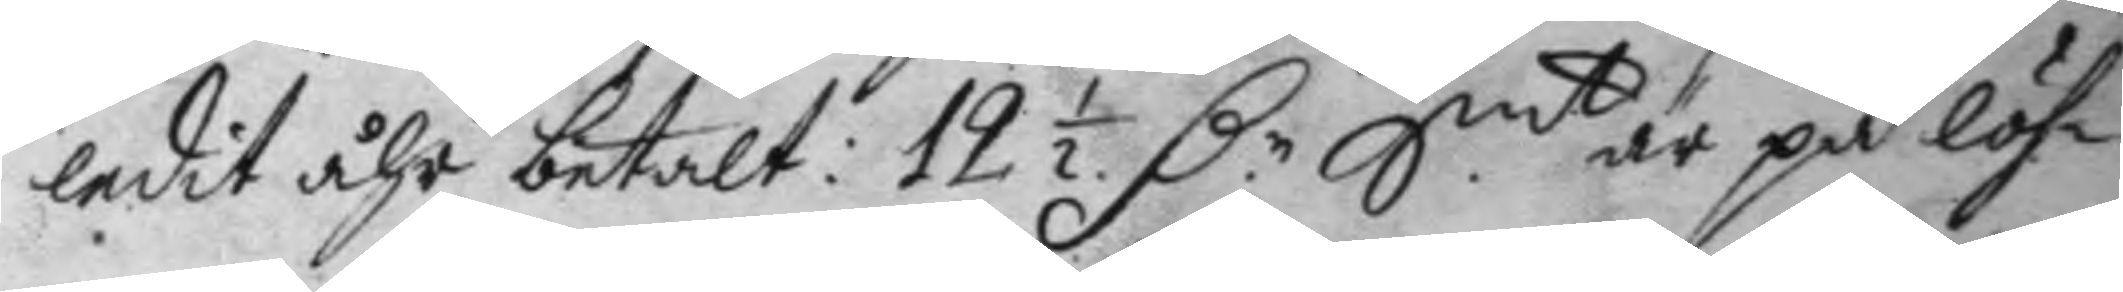ledit åhr betalt: 12½ D.r Smt är på löh¬
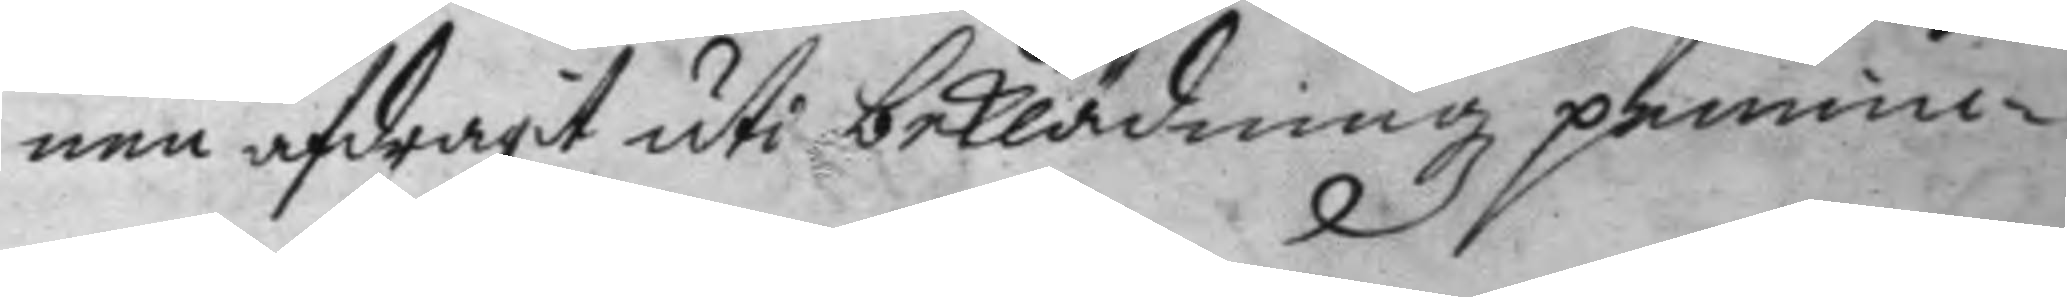nen afdragit uti beklädningz pennin¬
